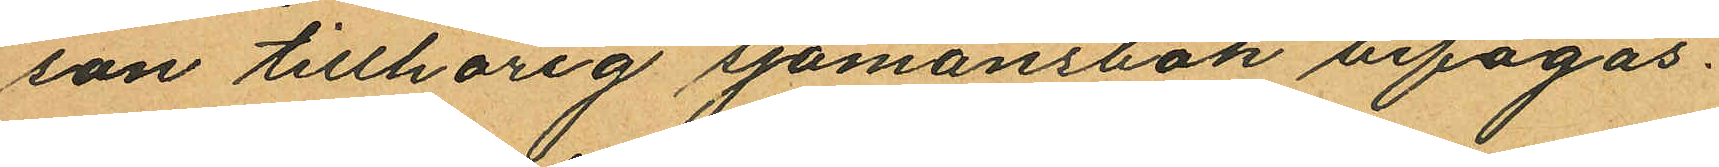son tillhörig sjömansbok bifogas.
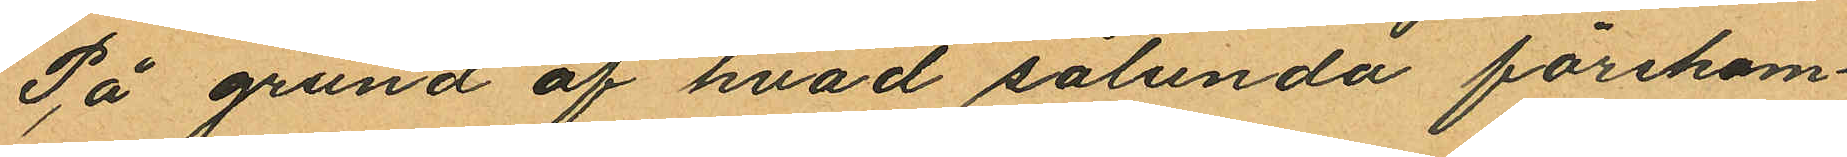På grund af hvad sålunda förekom¬
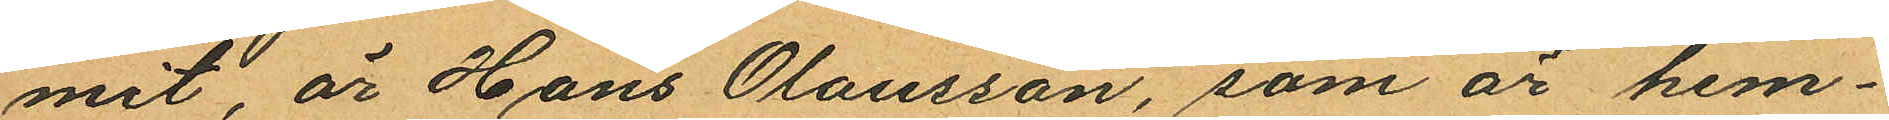mit, är Hans Olausson, som är hem¬
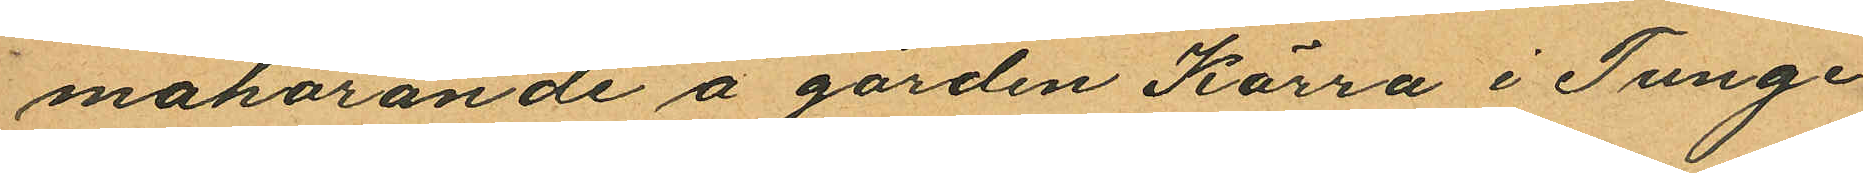mahörande å gården Kärra i Tunge
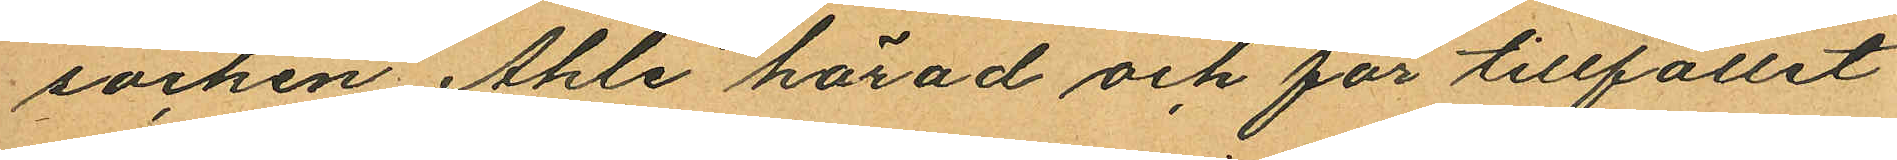socken Ahle härad och för tillfället
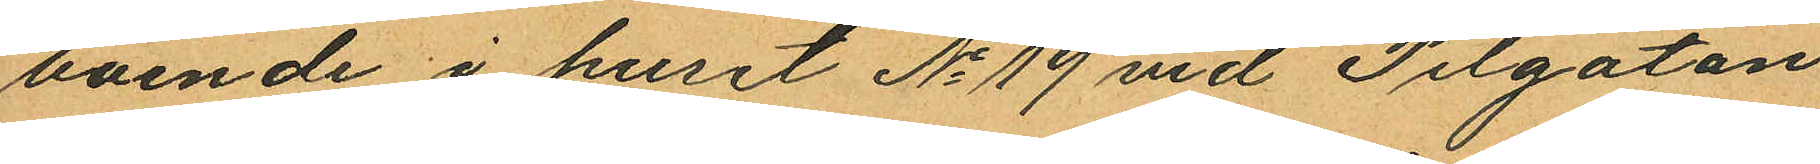boende i huset No 19 vid Pilgatan
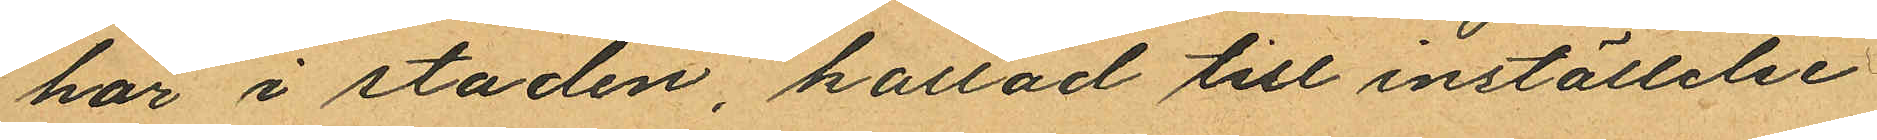här i staden, kallad till inställelse
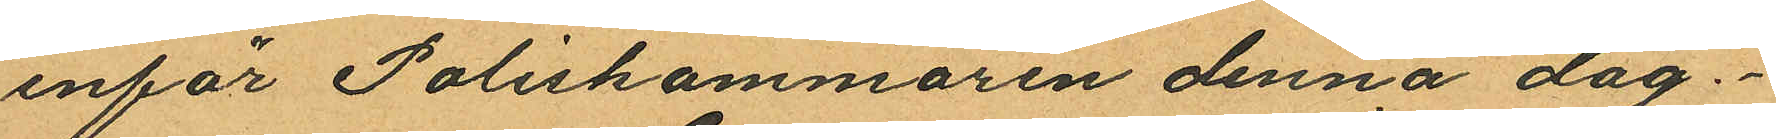inför Poliskammaren denna dag.
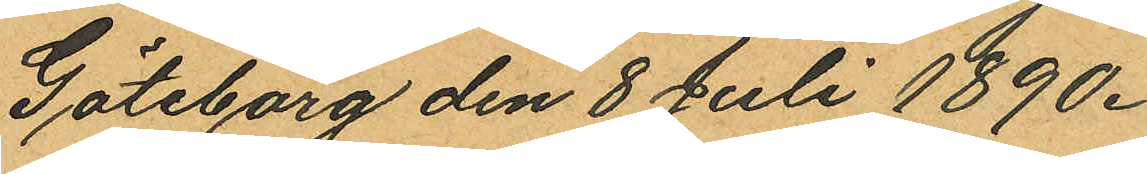Göteborg den 8 Juli 1890.
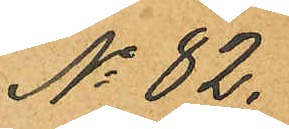No 82.
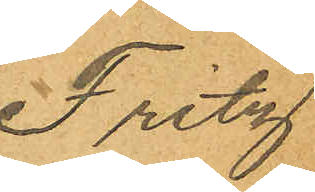Fritz
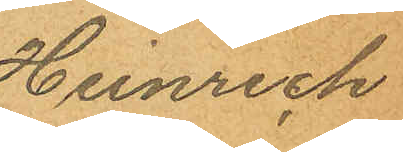Henrich
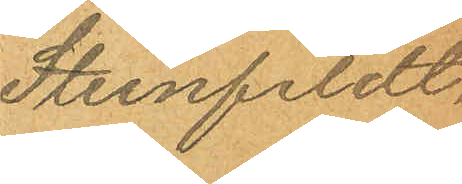Steinfeldt.
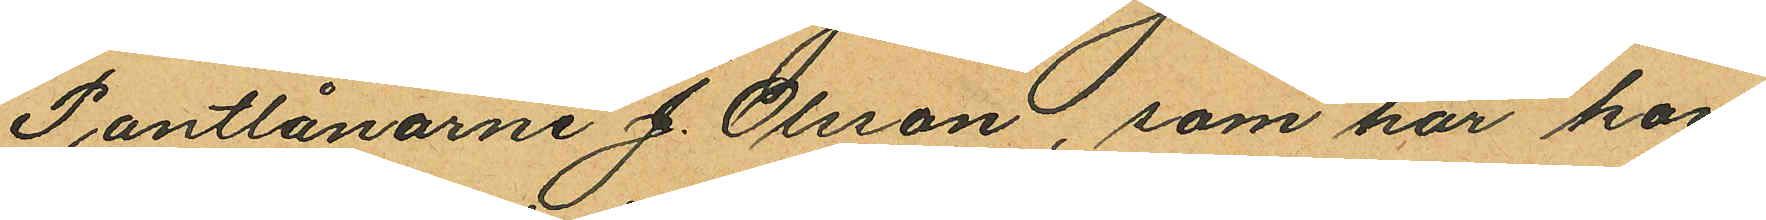Pantlånarne J. Olsson, som har kon
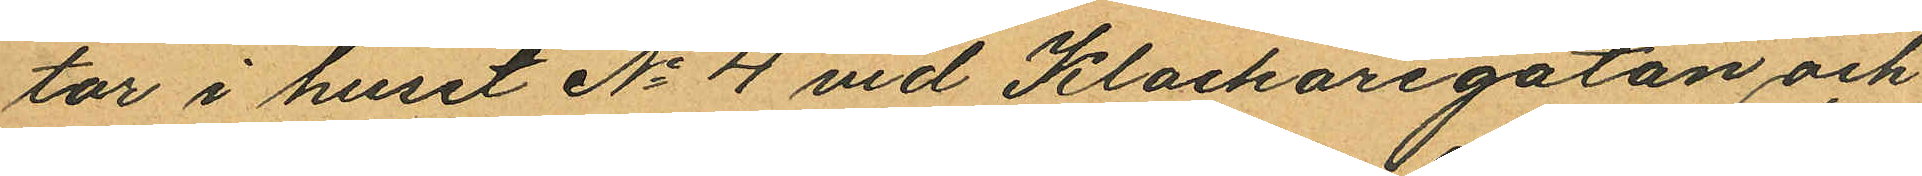tor i huset No 4 vid Klockaregatan och
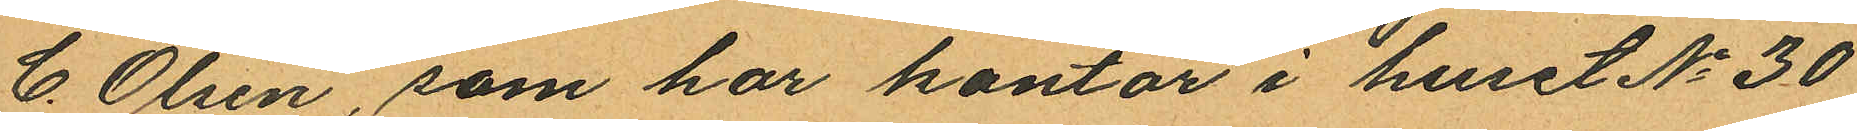C. Olsén, som har kontor i huset No 30
